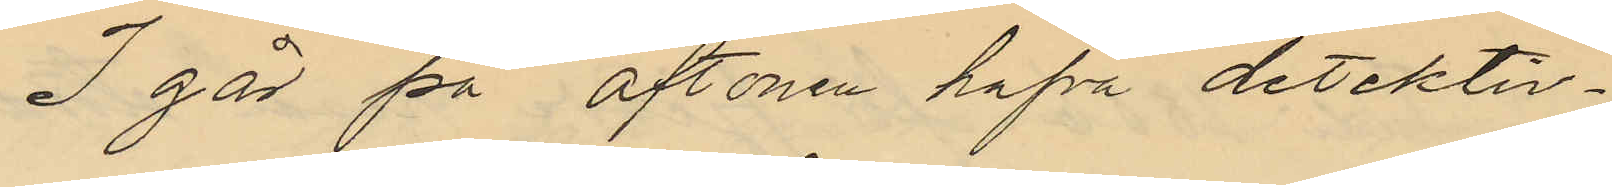I går på aftonen hafva detektiv¬
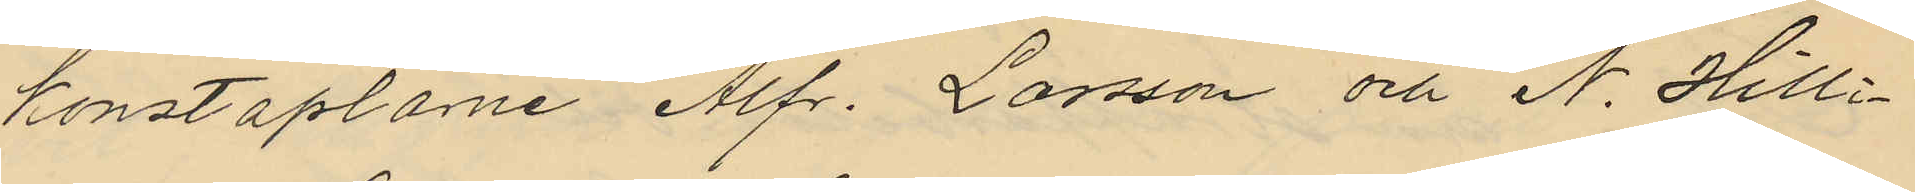konstaplarne Alfr. Larsson och N. Hilli¬
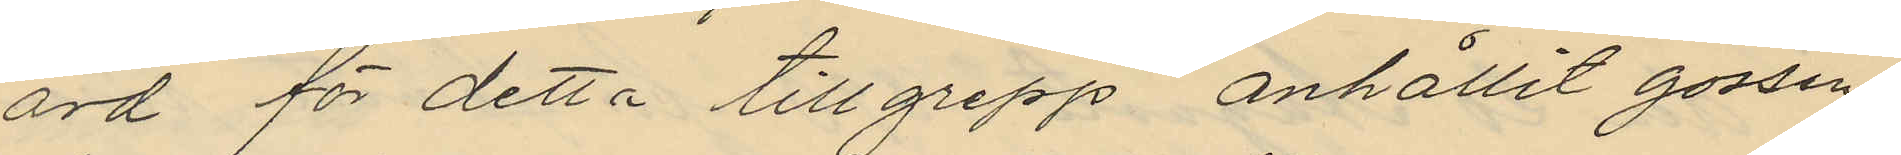ard för detta tillgrepp anhållit gossen
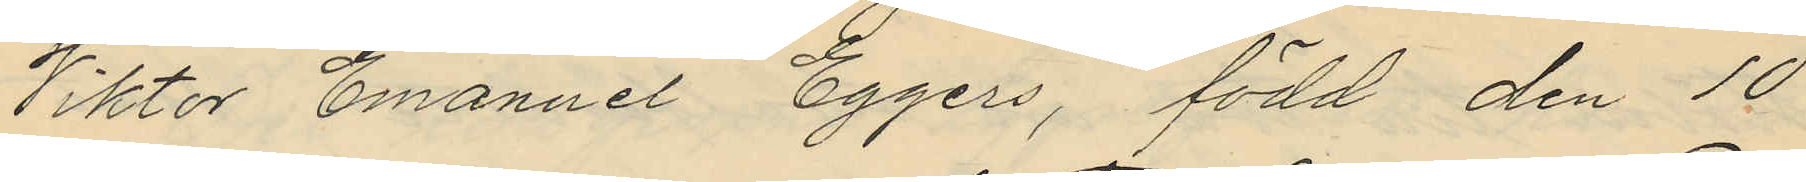Viktor Emanuel Eggers, född den 10
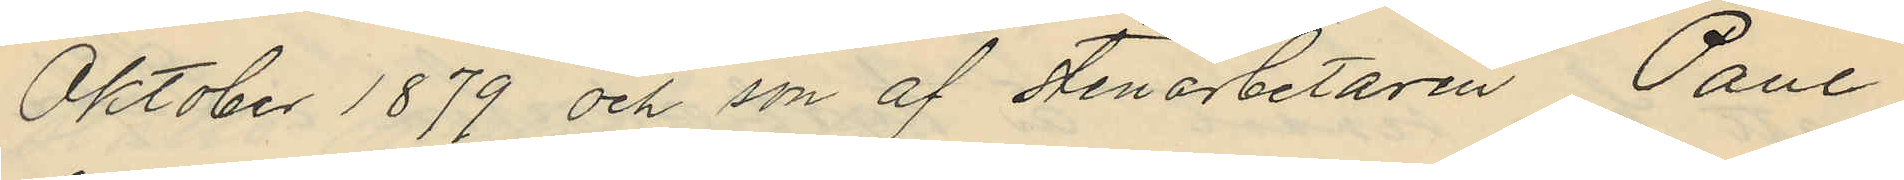Oktober 1879 och son af stenarbetaren Paul
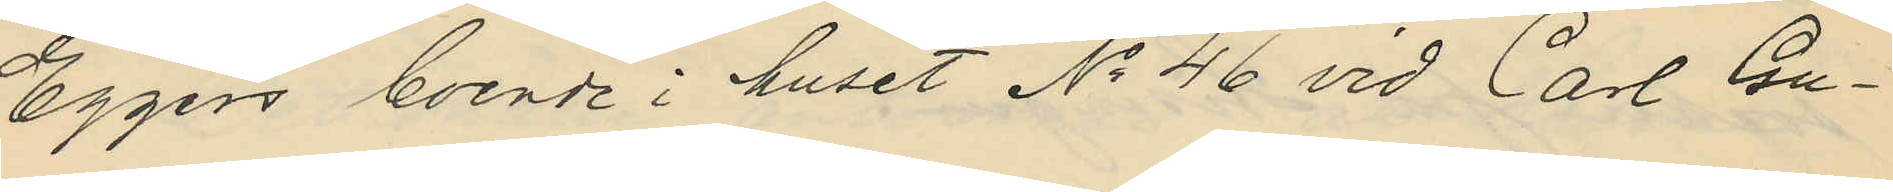Eggers boende i huset No 46 vid Carl Gu¬
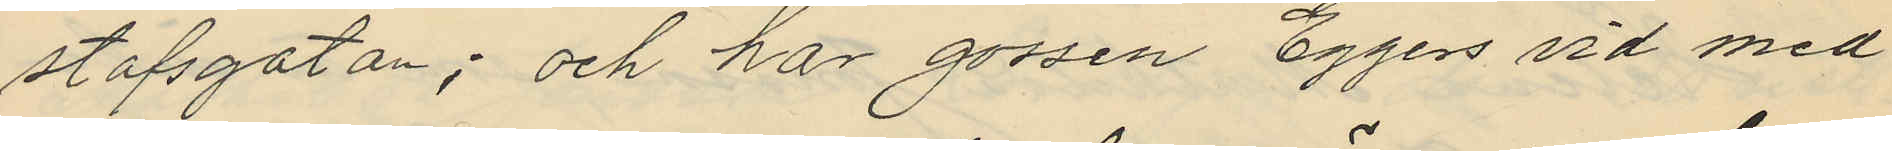stafsgatan; och har gossen Eggers vid med
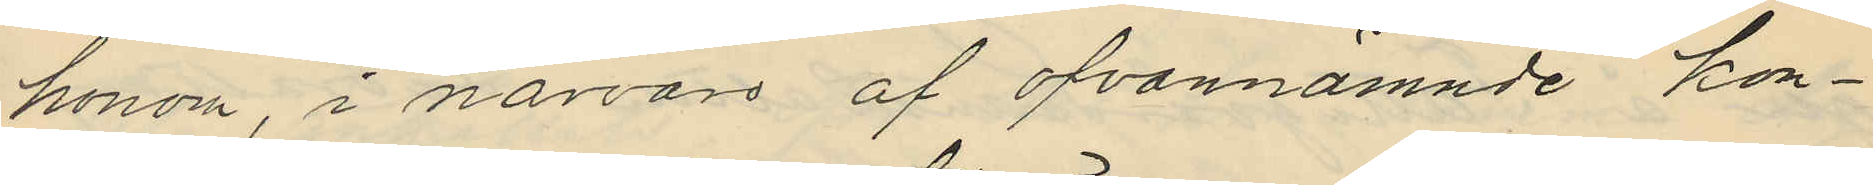honom, i närvaro af ofvannämnde kon¬
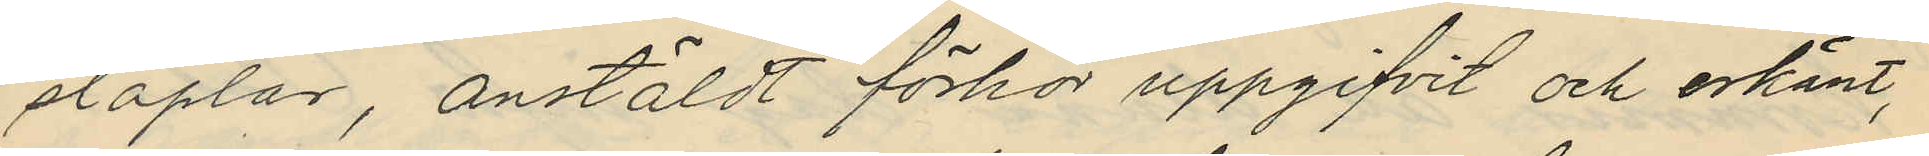staplar, anstäldt förhör uppgifvit och erkänt,
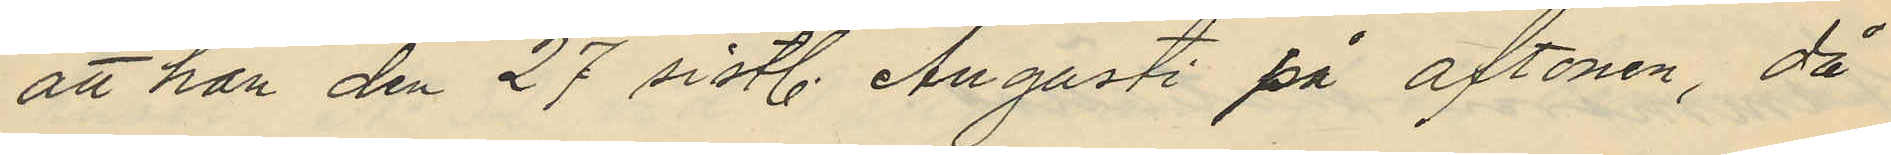att han den 27 sistl. Augusti på aftonen, då
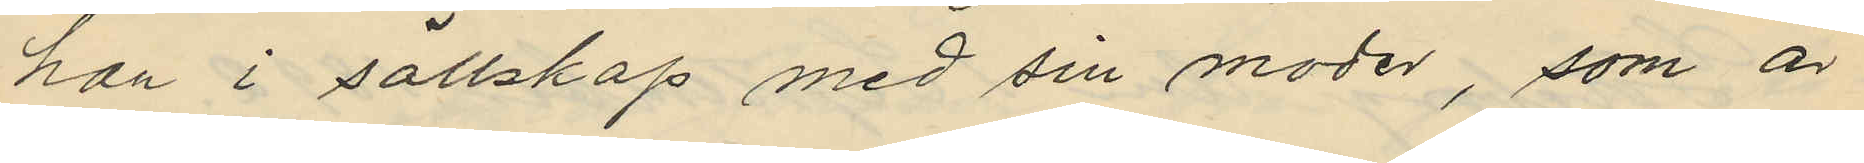han i sällskap med sin moder, som är
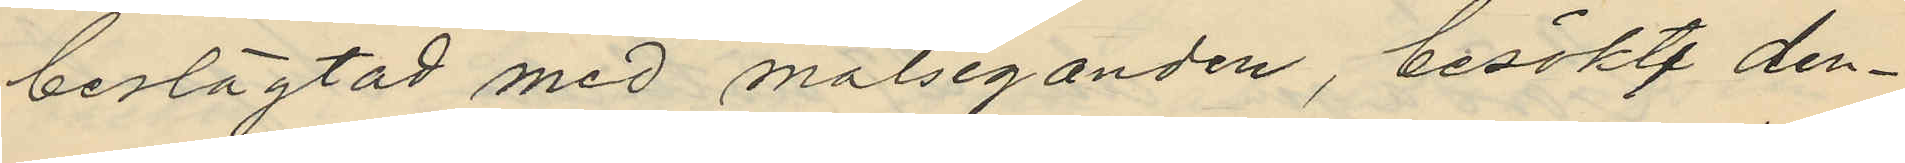beslägtad med målseganden, besökt den¬
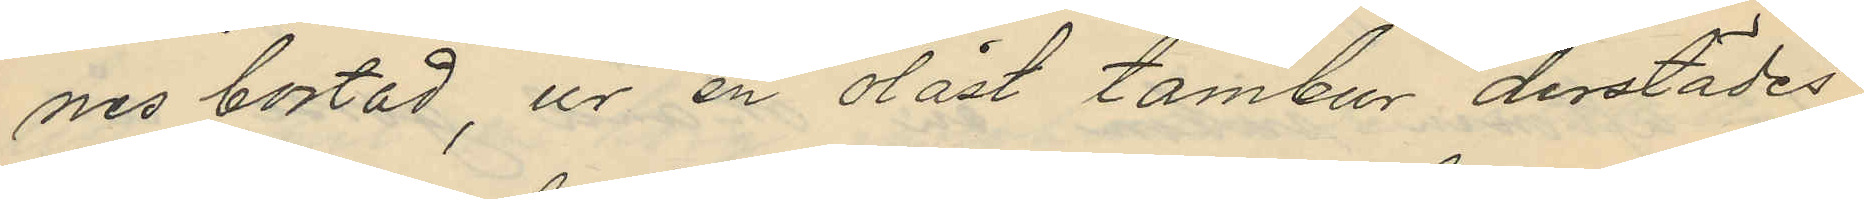nes bostad, ur en olåst tambur derstädes
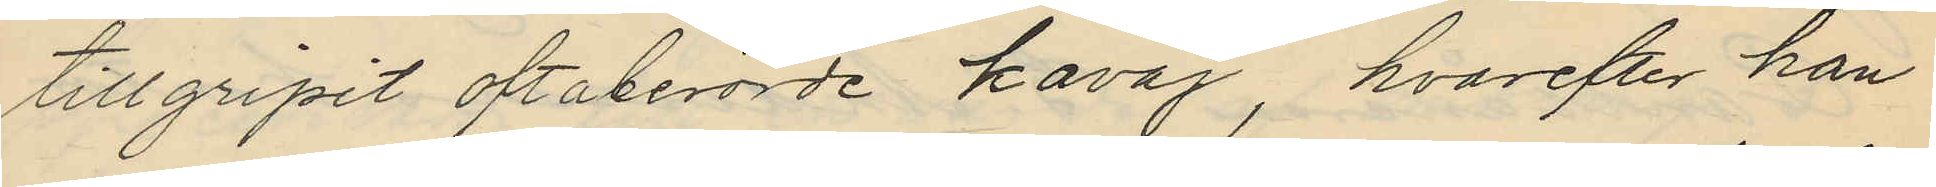tillgripit oftaberörde kavaj, hvarefter han
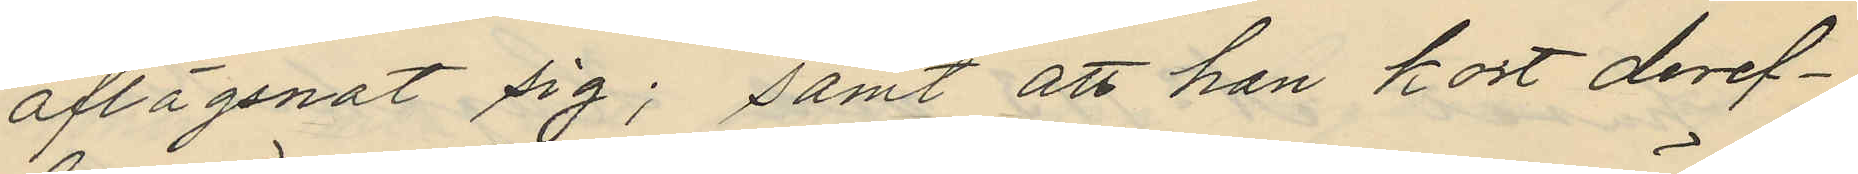aflägsnat sig; samt att han kort deref¬
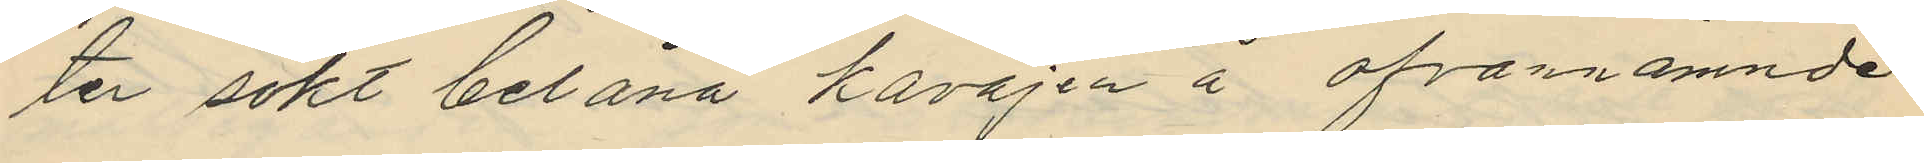ter sökt belåna kavajen å ofvannämnde
